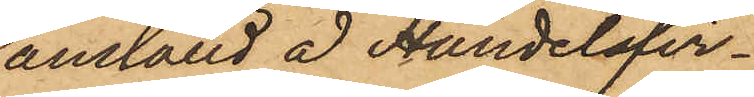anställd å Handelsfir¬
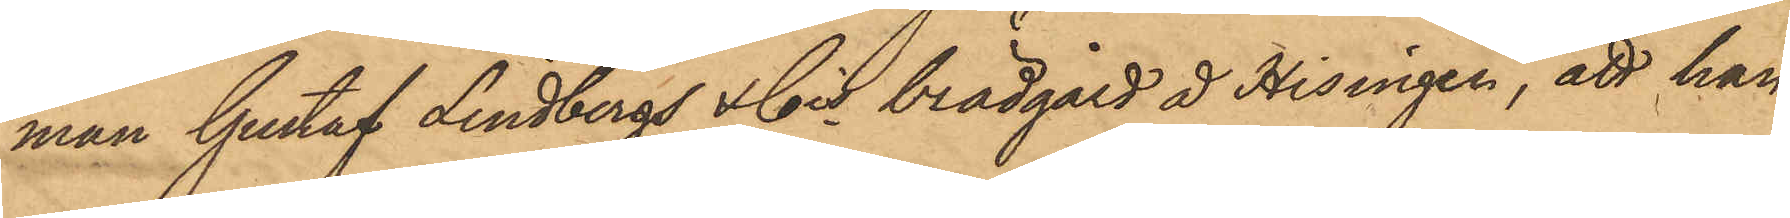man Gustaf Lindbergs & Cos brädgård å Hisingen, att han
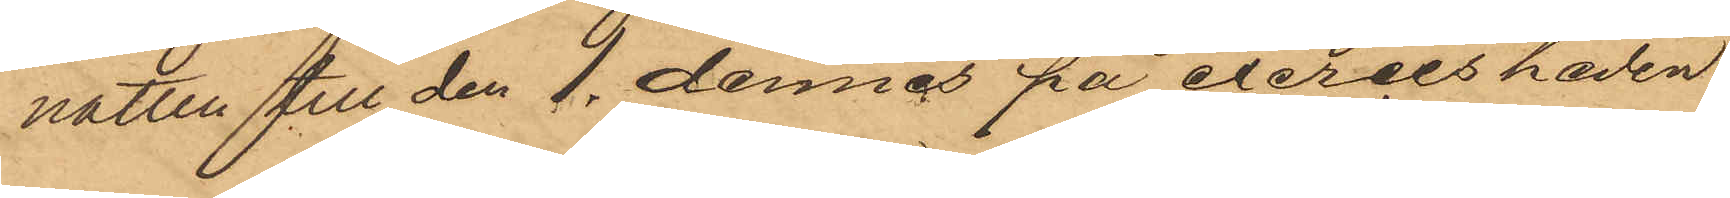natten till den 1. dennes på exercisheden
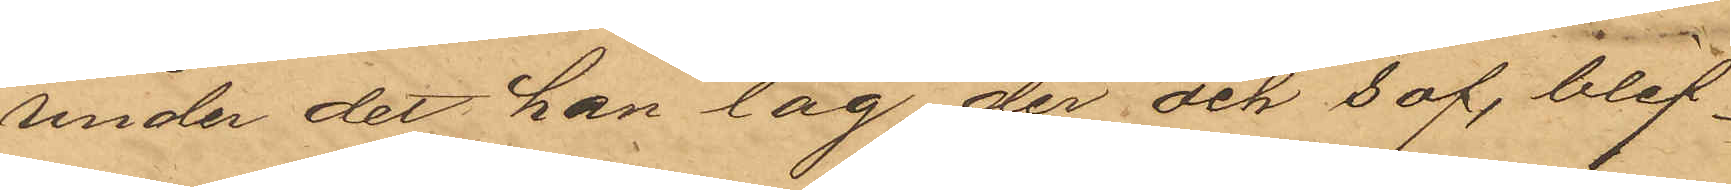under det han låg der och sof, blif¬
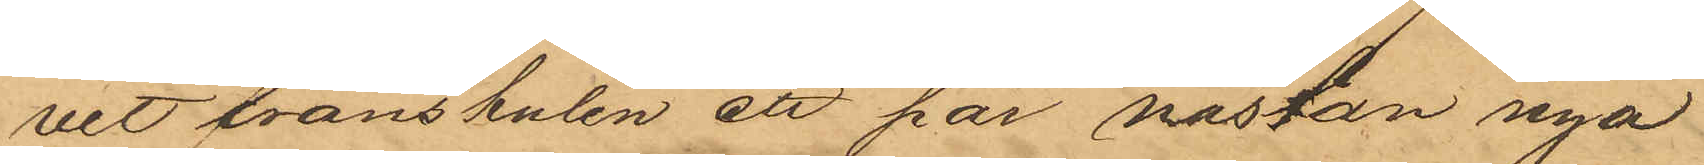vit frånstulen ett par nästan nya
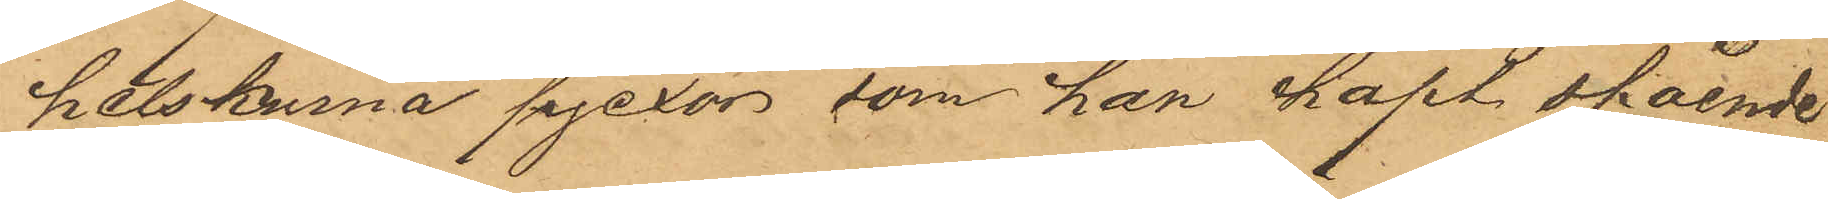helskurna pjexor, som han haft stående
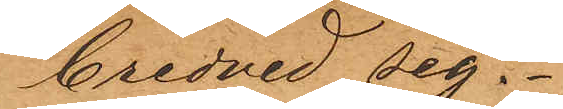bredvid sig.
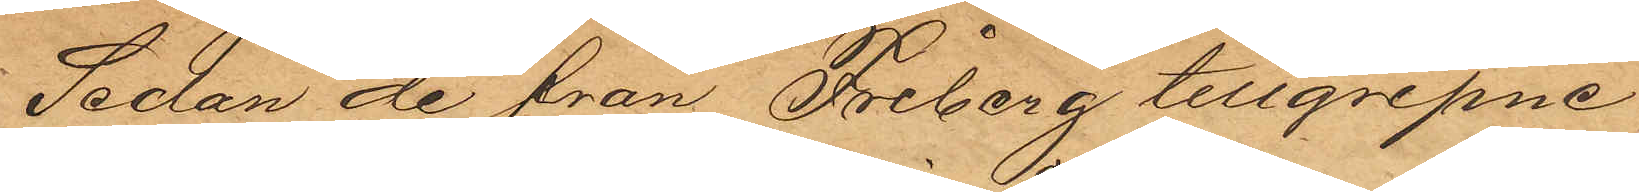Sedan de från Friberg tillgripne
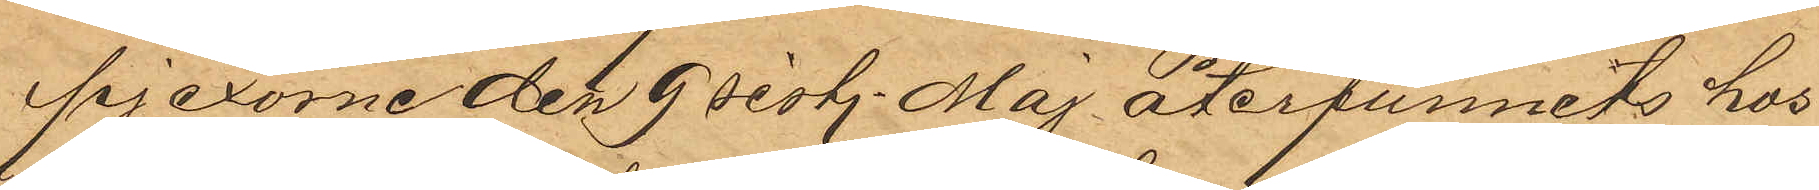pjexorne den 9 sist. Maj återfunnits hos
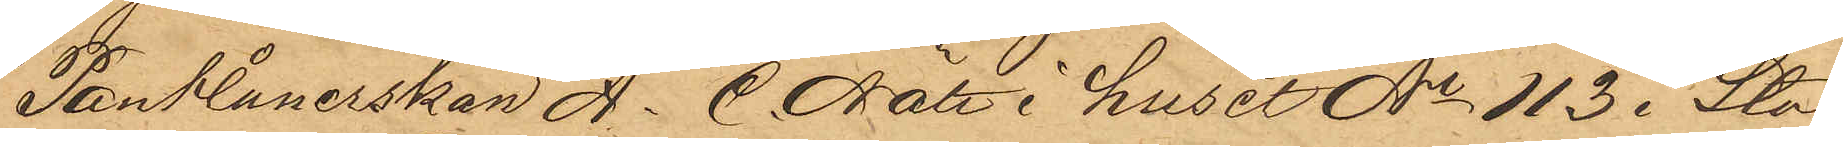Pantlånerskan A. C. Nätt i huset No 113 i Sta¬
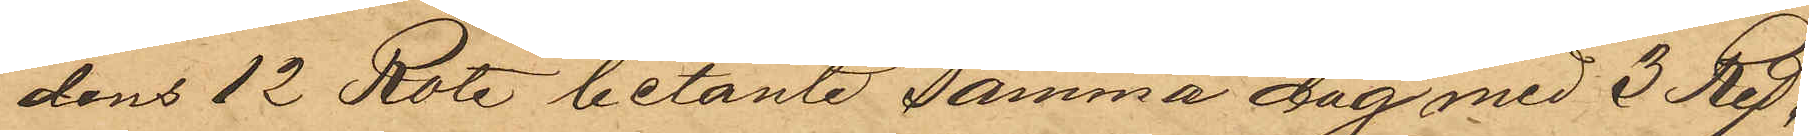dens 12 Rote belånte samma dag med 3 Rdr
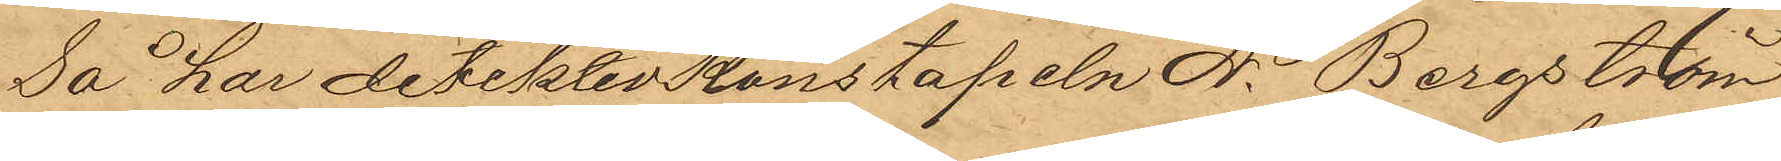så har detektivkonstapeln A. Bergström
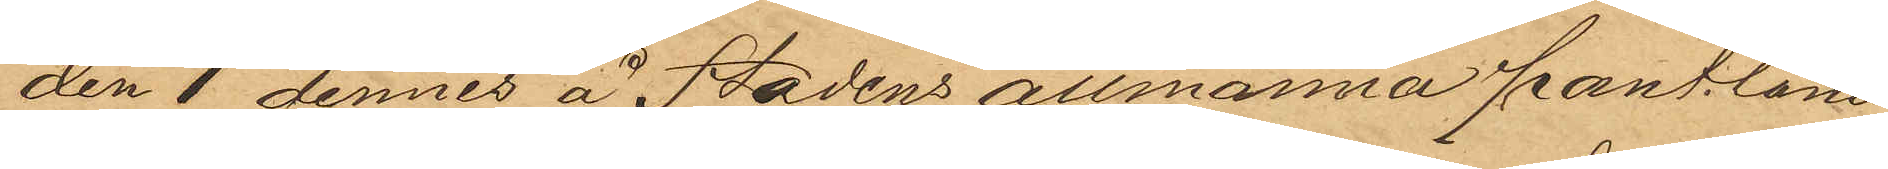den 1 dennes å Stadens allmänna pantlåne¬
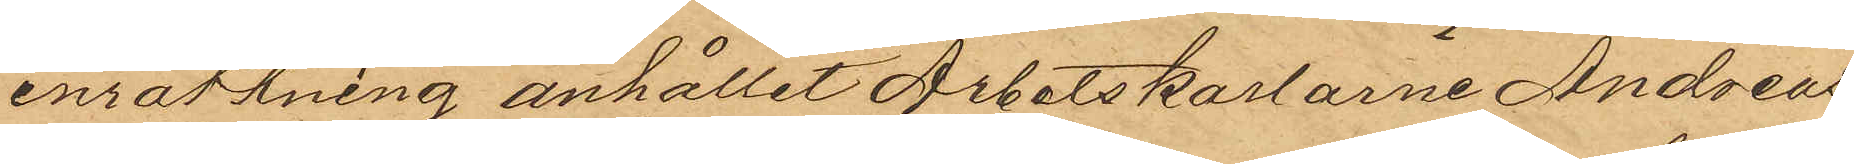inrättning anhållit Arbetskarlarne Andreas
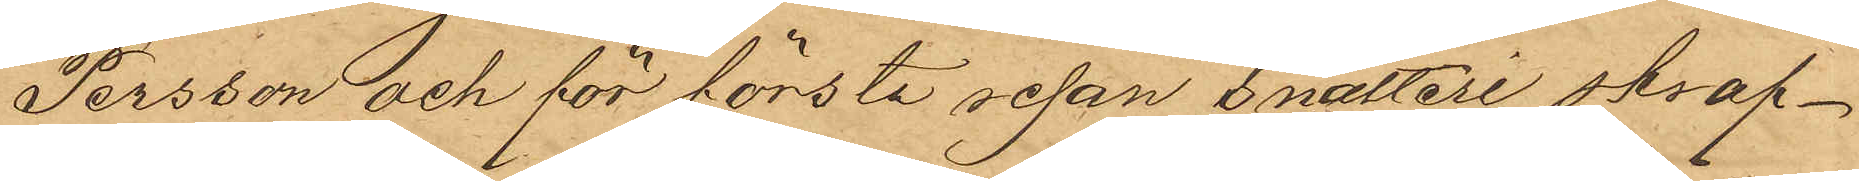Persson och för första resan snatteri straf¬
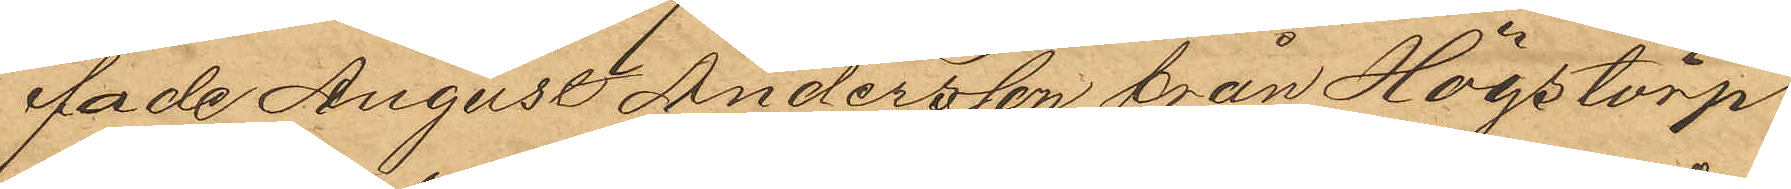fade August Andersson från Högstorp
